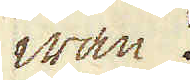wan.
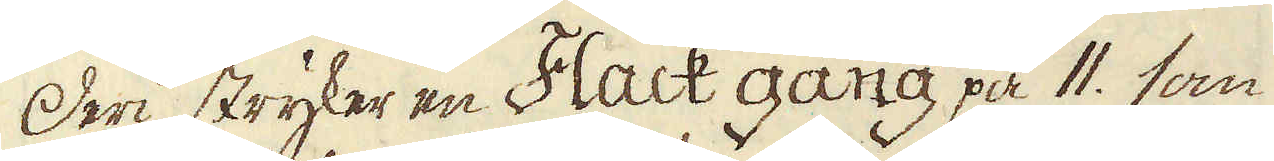Deri stryker en Flack gång på 11. som
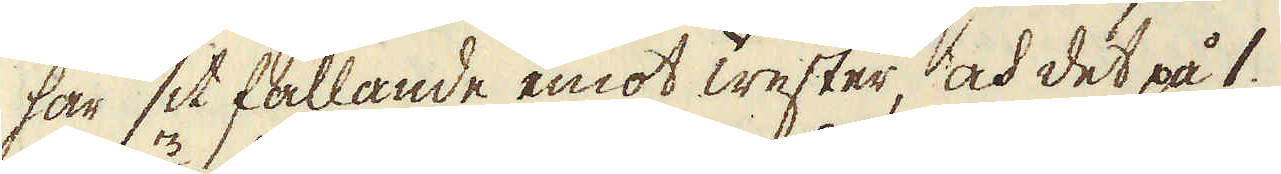har sit fallande emot wester, och det på 1.
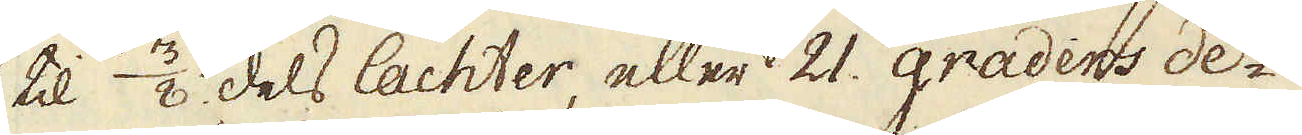til 3/8 dels lachter, eller 21. graders de-
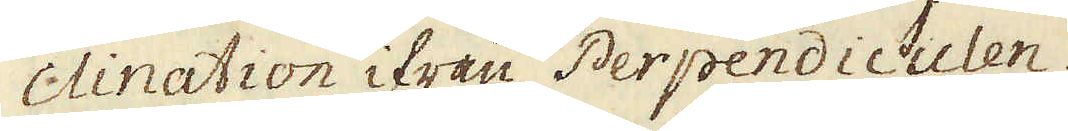clination ifrån Perpendiculen.
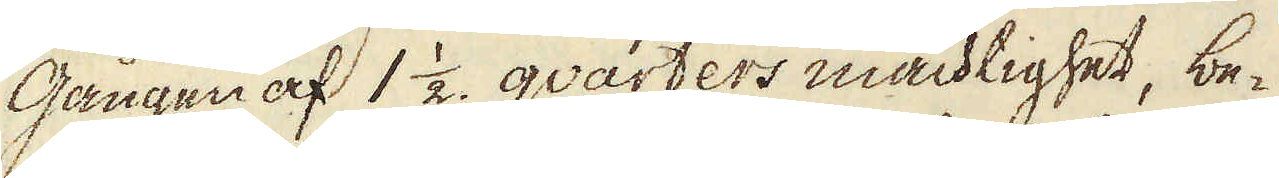Gången af 1 1/2 qvarters mächtighet, be-
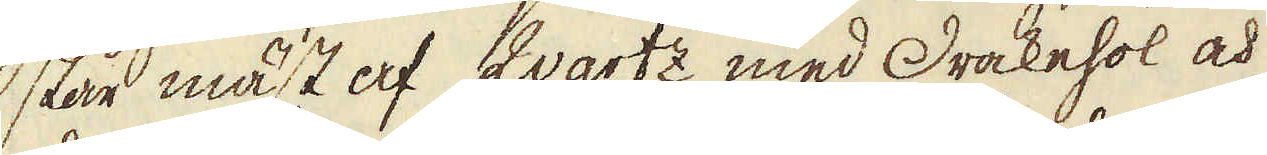står mäst af Qvartz med Drakehol och
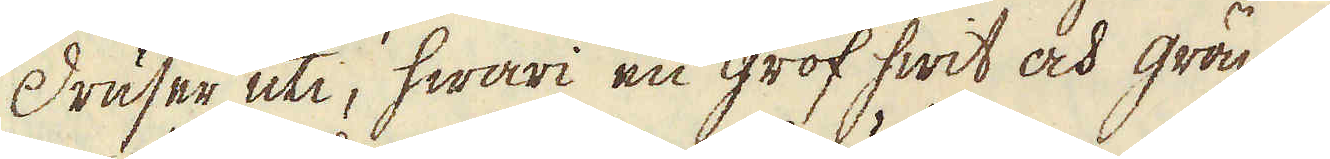Druser uti, hwari en grof hwit och grön
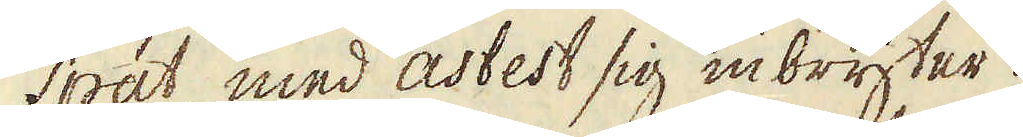spat, med asbest sig inbryter.
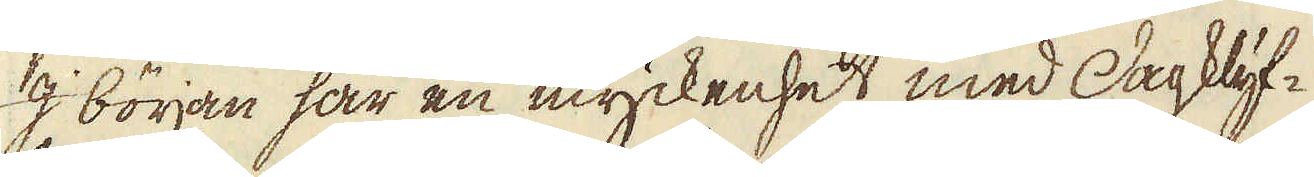I början har en myckenhet med Dagklyf-
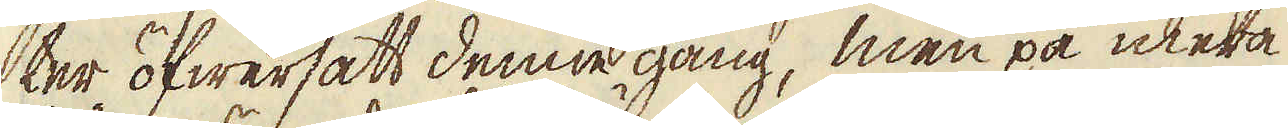ter öfwersatt denne gång, men på mera
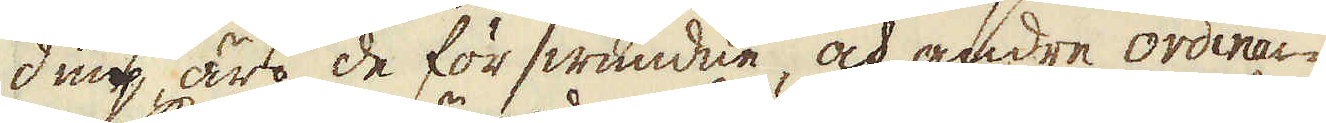diup äro de förswundne, och andre ordinai-
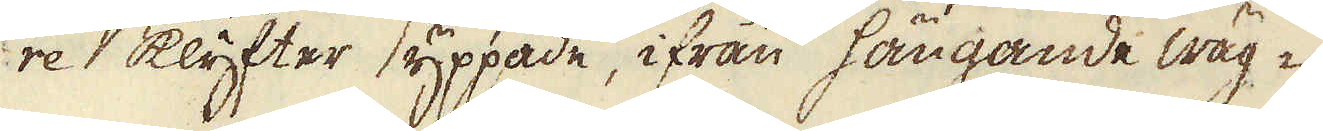re klyfter yppade, ifrån hängande wäg-
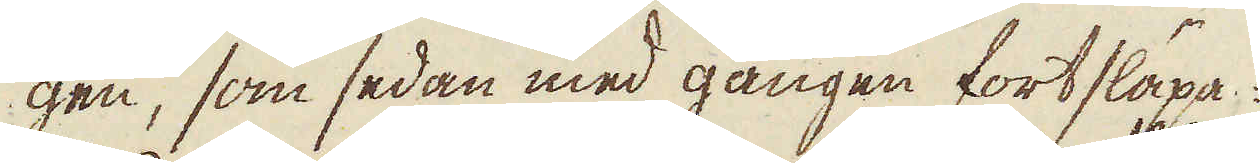gen, som sedan med gången fortsläpa:
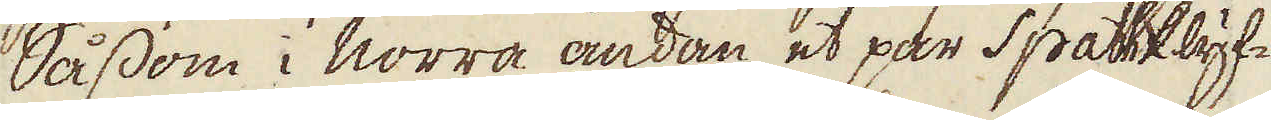Såsom i Norra ändan et par Spattklyf-
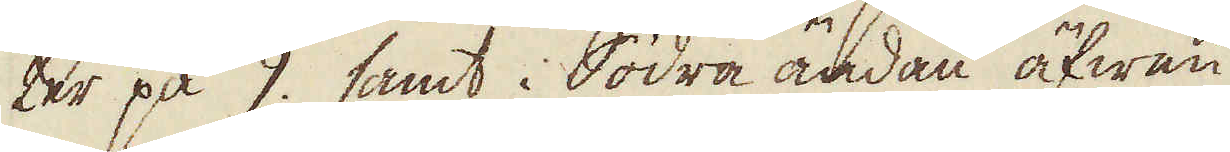ter på 9. samt i Södra ändan äfwen
